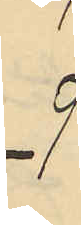9
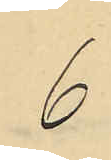6
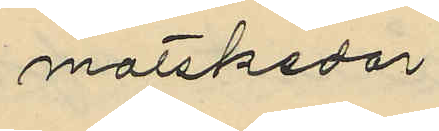matskedar
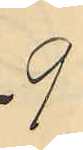9
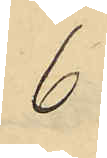6
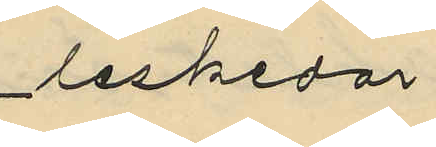teskedar
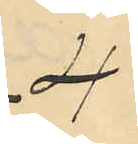4
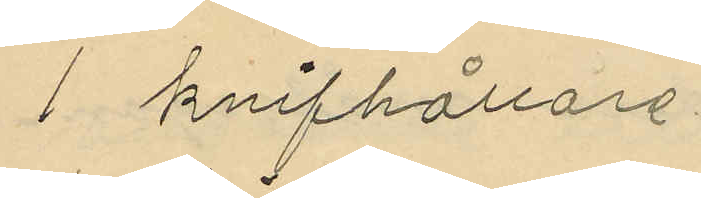1 knifhållare
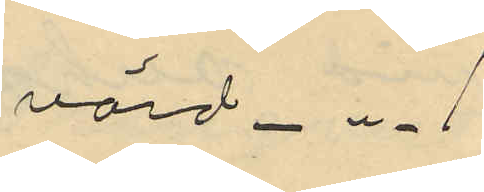värd - " - 1
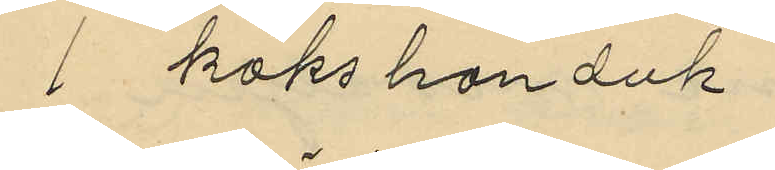1 kökshanduk
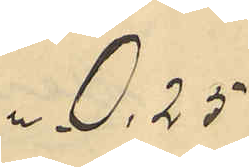" - 0,25
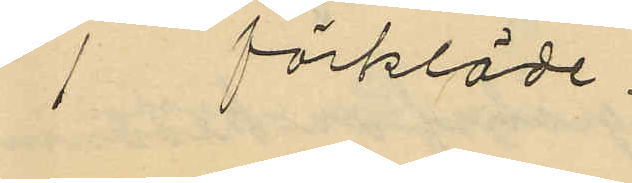1 förkläde
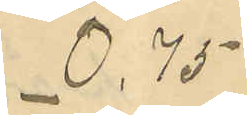0,75
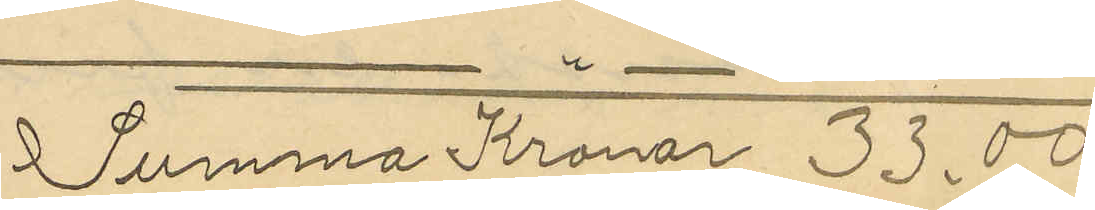Summa Kronor 33,00
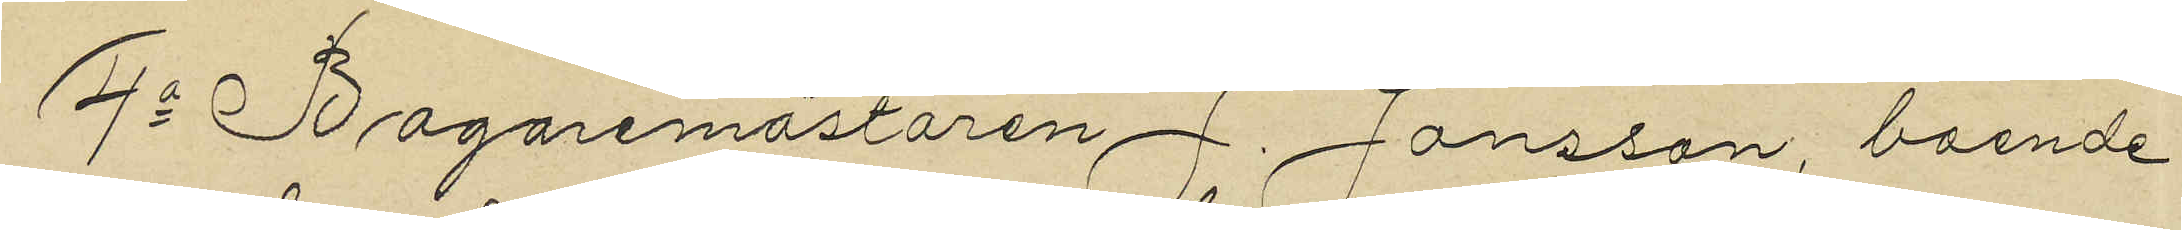4o Bagaremästaren J. Jönsson, boende
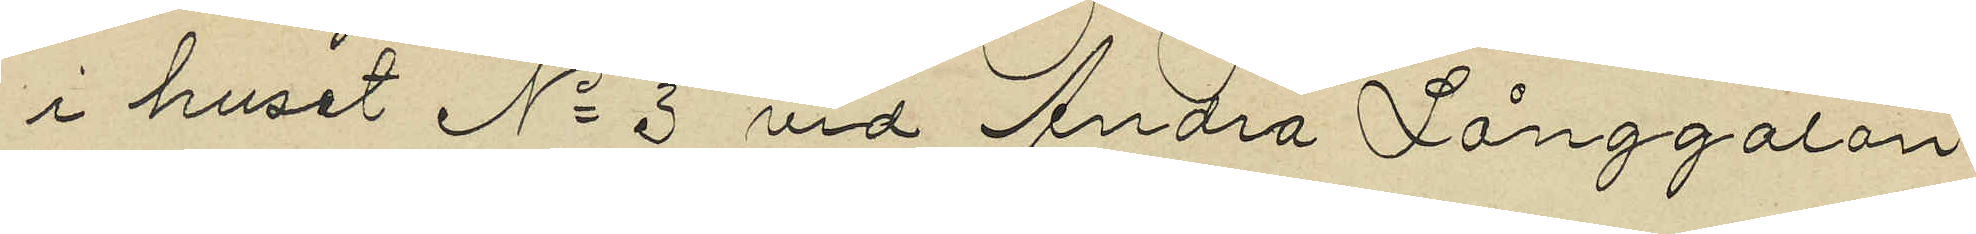i huset No 3 vid Andra Långgatan
